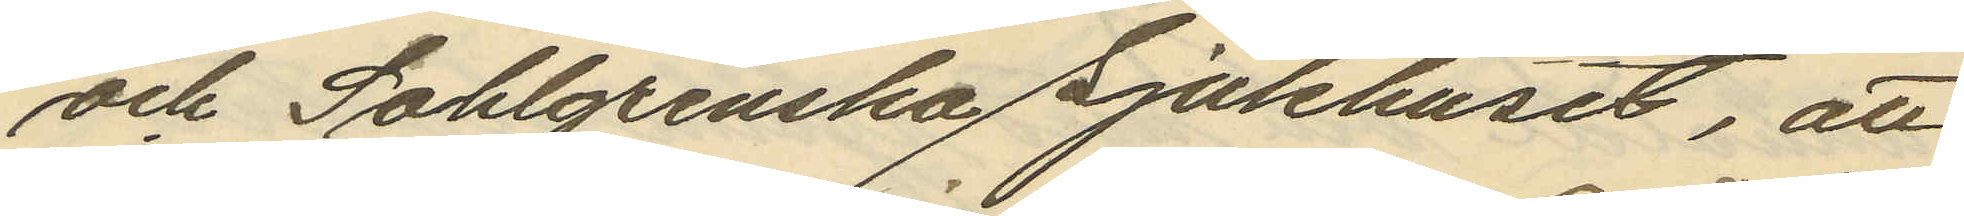och Sahlgrenska Sjukhuset, att
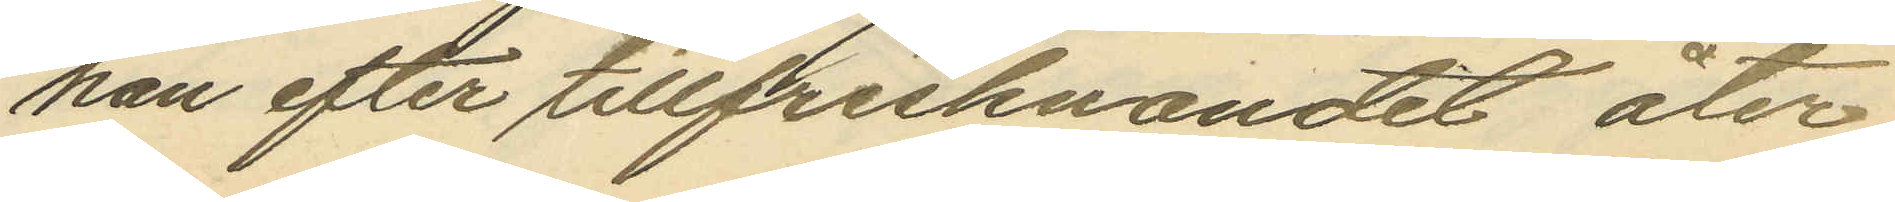han efter tillfrisknandet åter
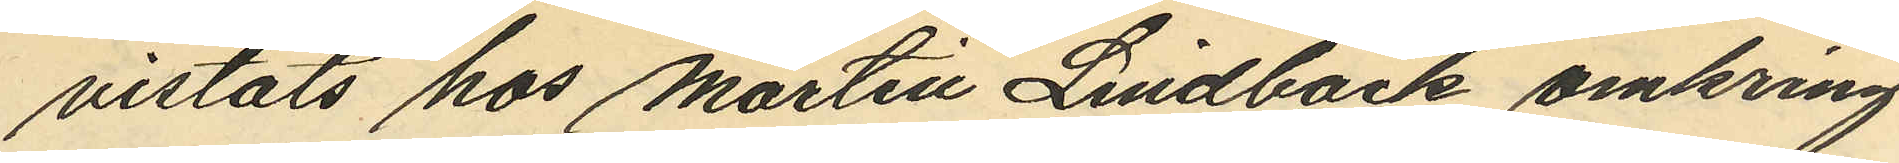vistats hos Martin Lindbäck omkring
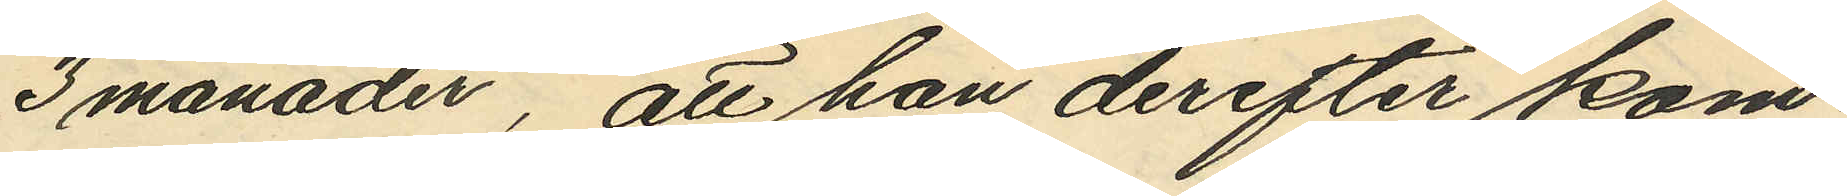3 månader, att han derefter kom¬
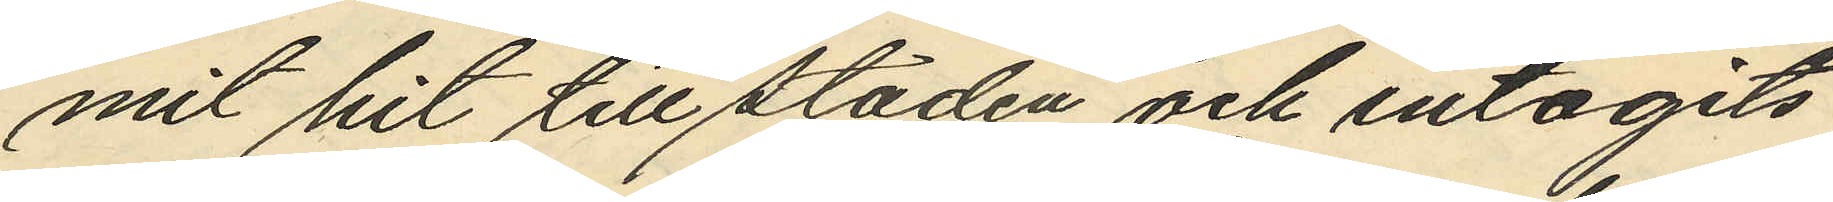mit hit till staden och intagits
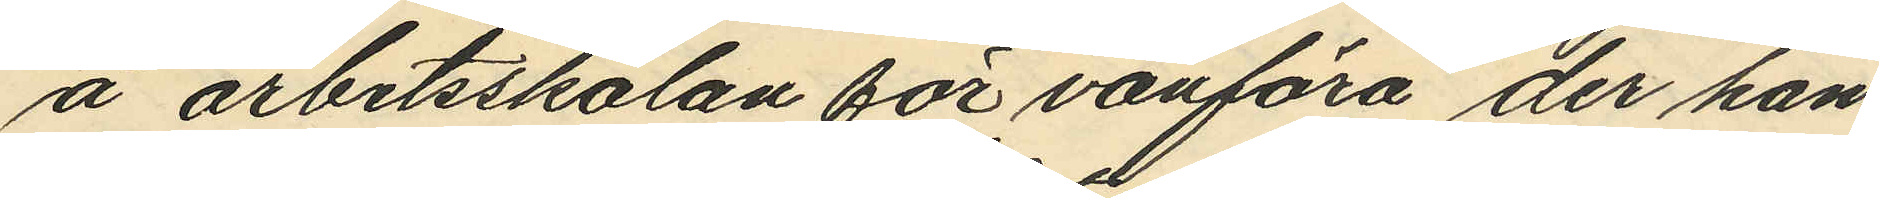å "arbetsskolan för vanföra" der han
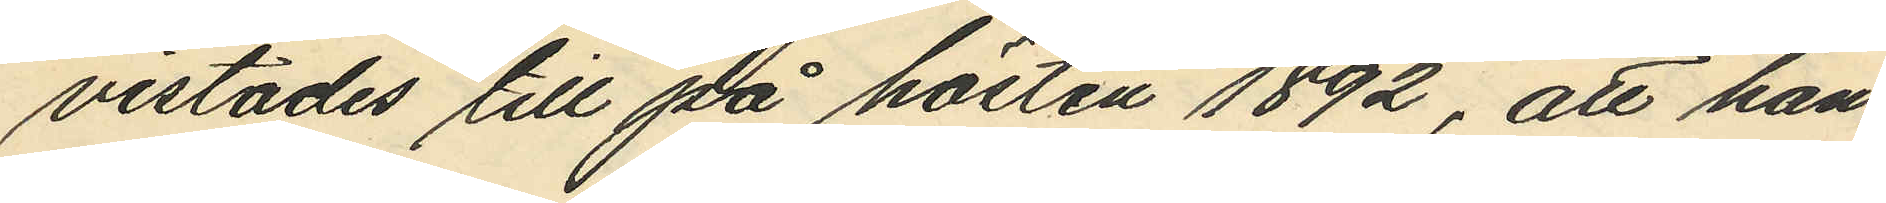vistades till på hösten 1892, att han
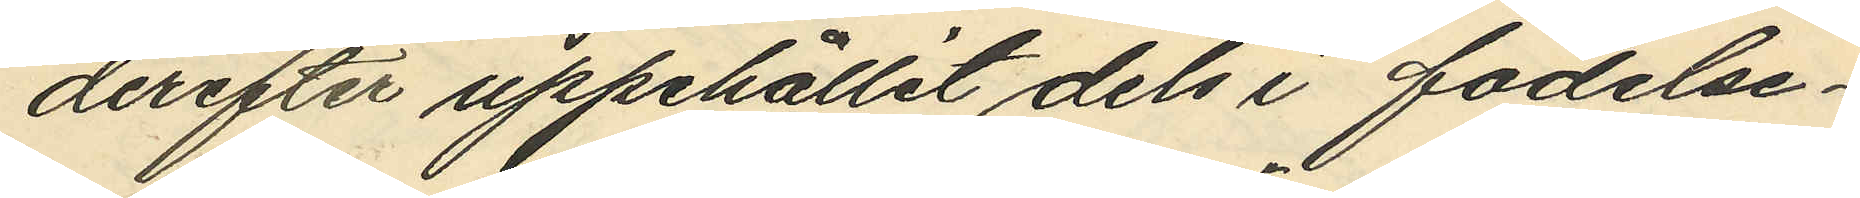derefter uppehållit dels i födelse¬
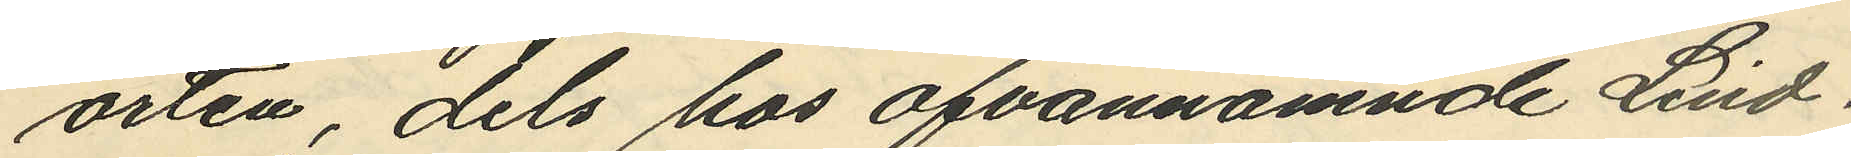orten dels hos ofvannämnde Lind¬
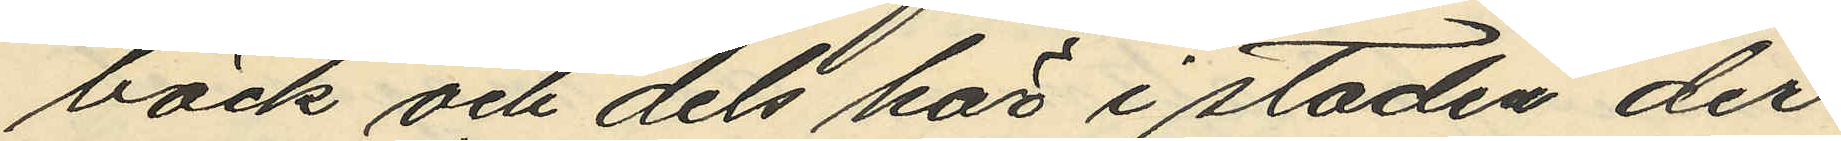bäck och dels här i staden der
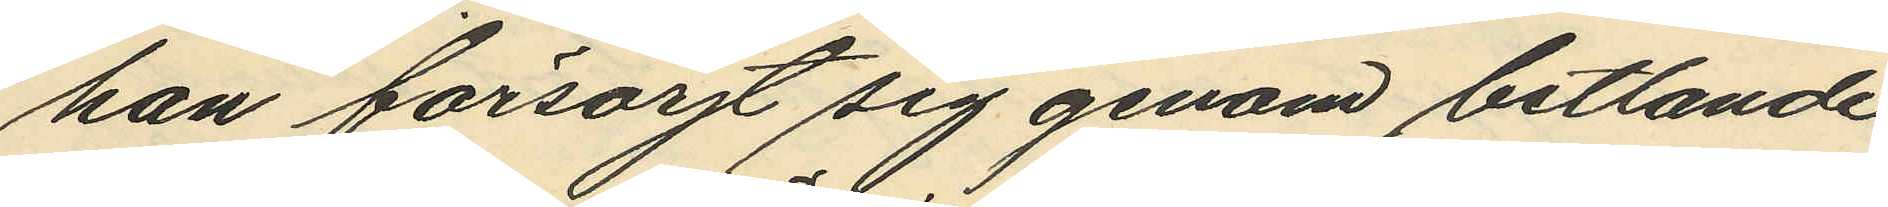han försörjt sig genom betlande
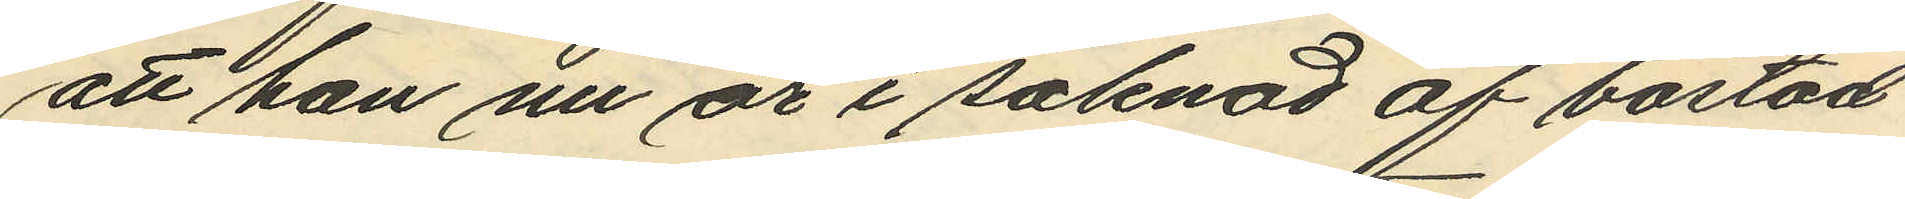att han nu är i saknad af bostad
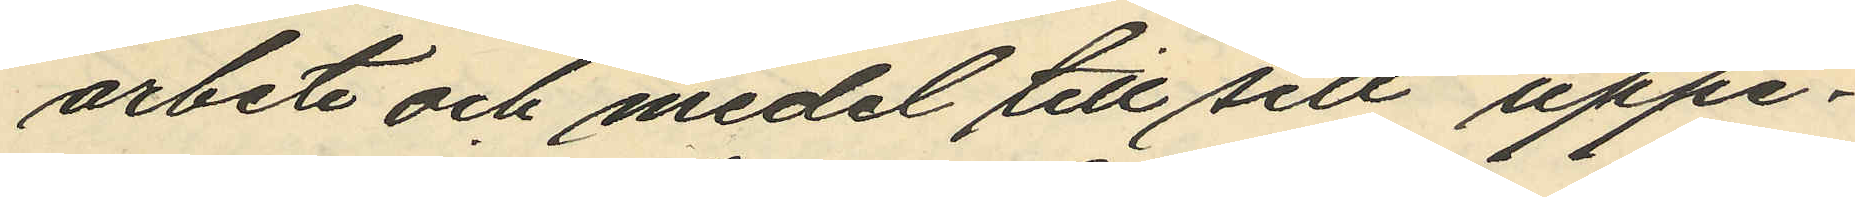arbete och medel till sitt uppe¬
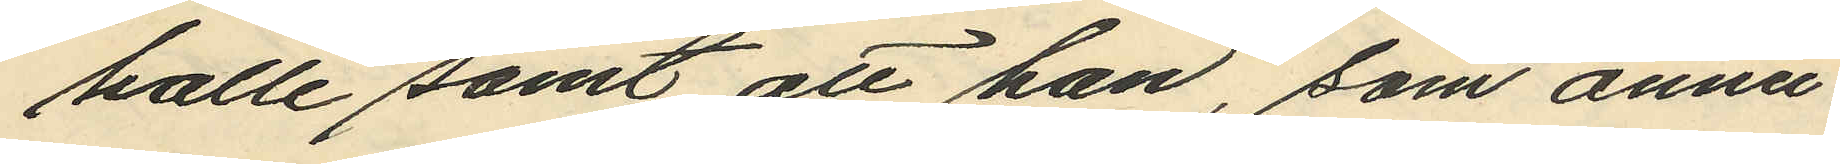halle samt att han, som ännu
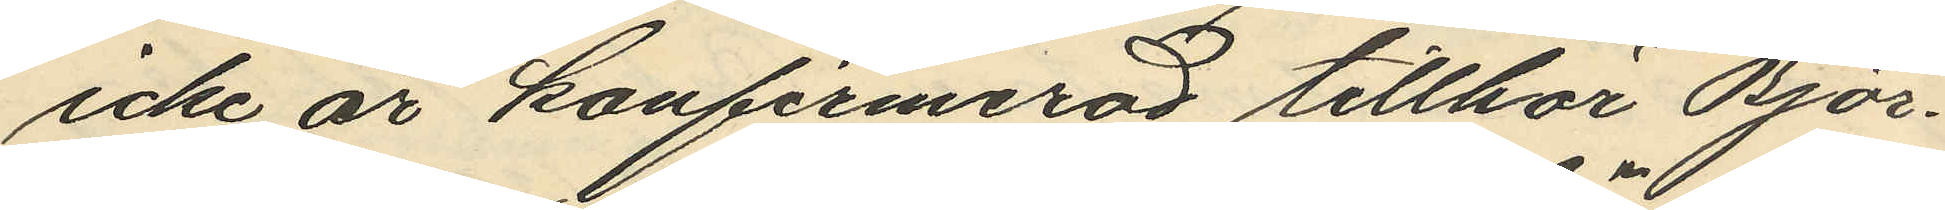icke är konfirmerad tillhör Björ¬
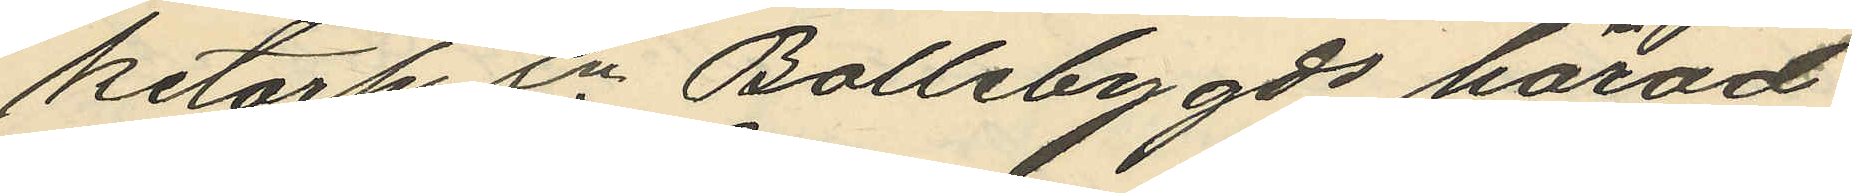ketorp sn Bollebygds härad
